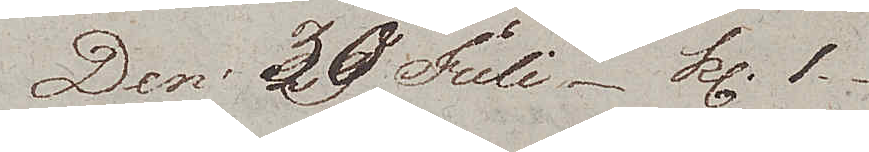Den 30 Juli Kl. 1.
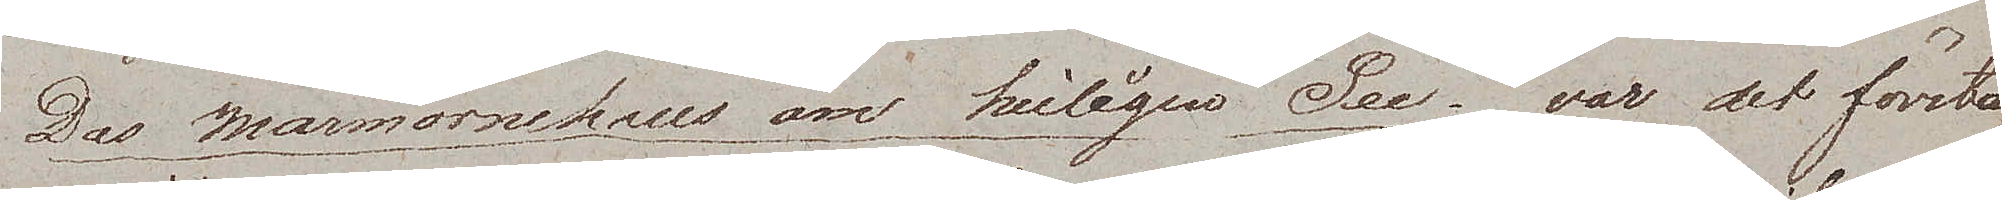Das Marmorne haus am heiligen See var det första
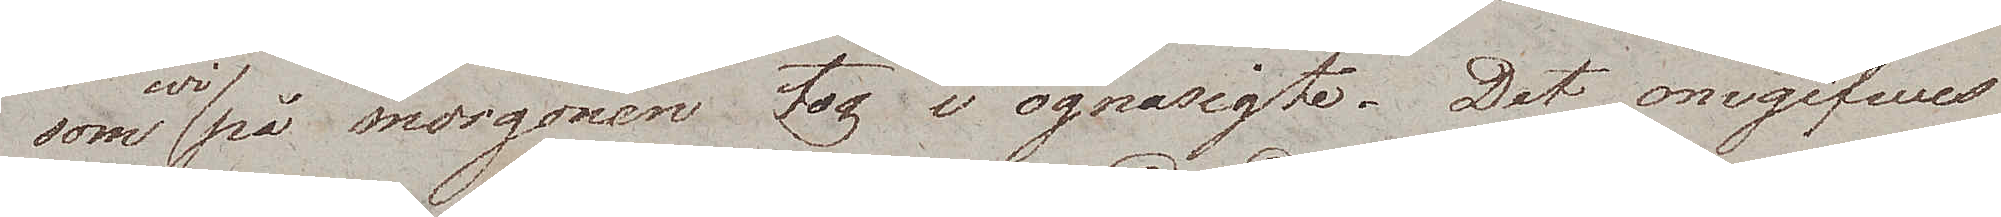som wi på morgonen tog i ögnasigte. Det omgifwes
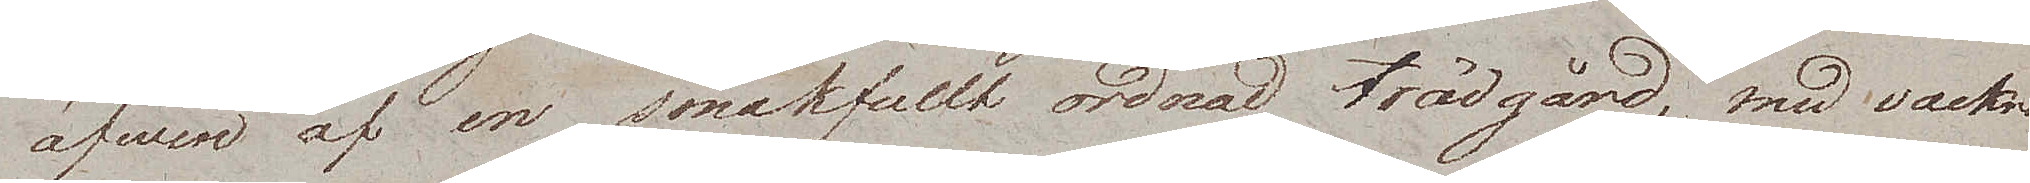äfwen af en smakfullt ordnad trädgård, med vackra
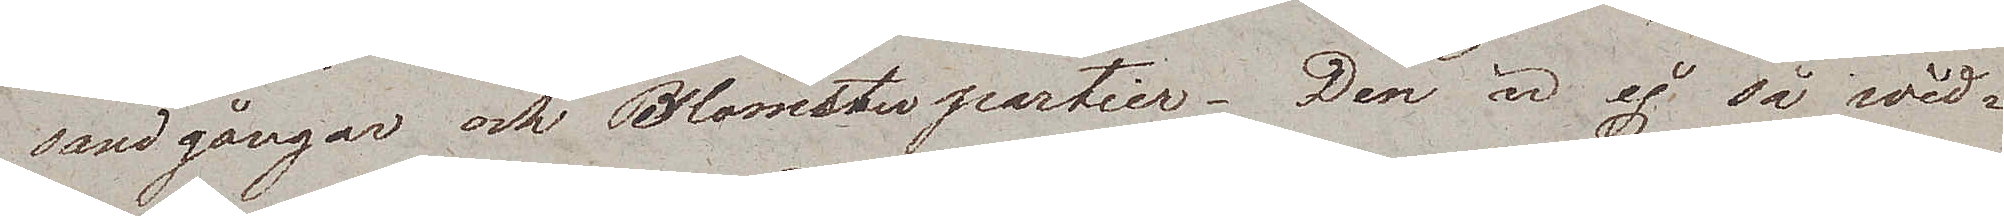sandgångar och Blomsterpartier. Den är ej så wid¬
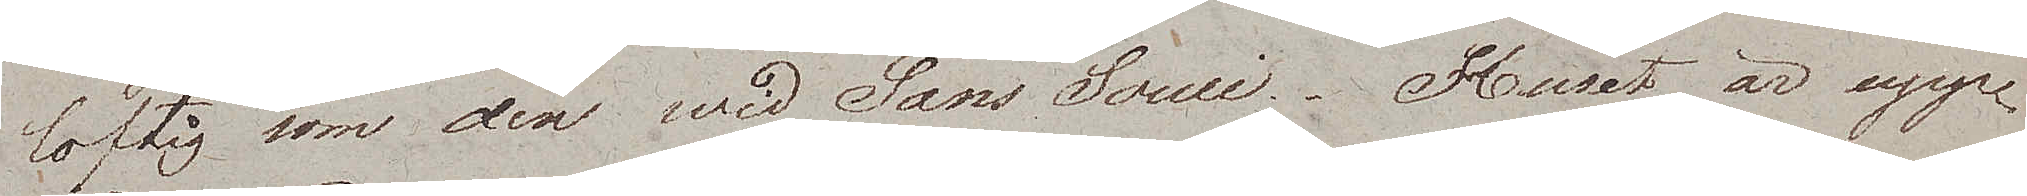loftig som den wid Sans Souci. Huset är upp¬
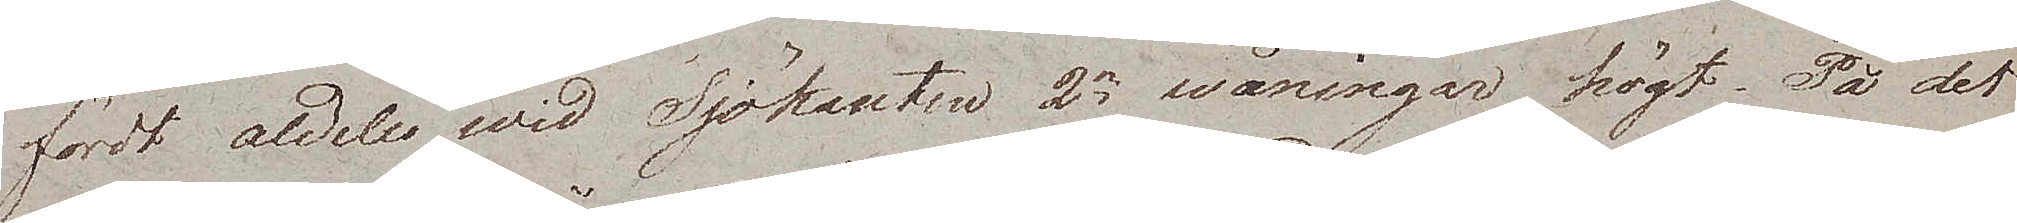fördt aldeles wid Sjökanten 2ne wåningar högt. På det
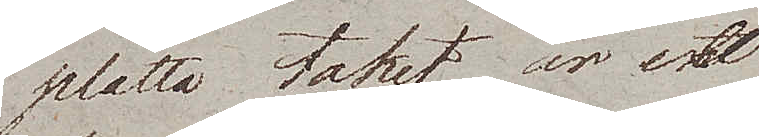platta taket är ett
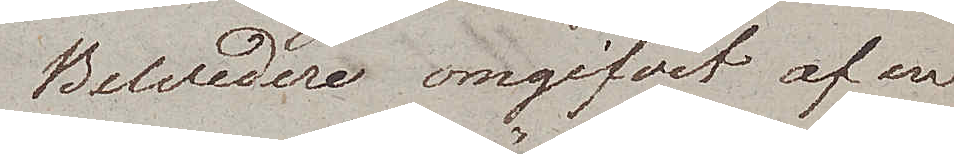Belvedere omgifvit af en
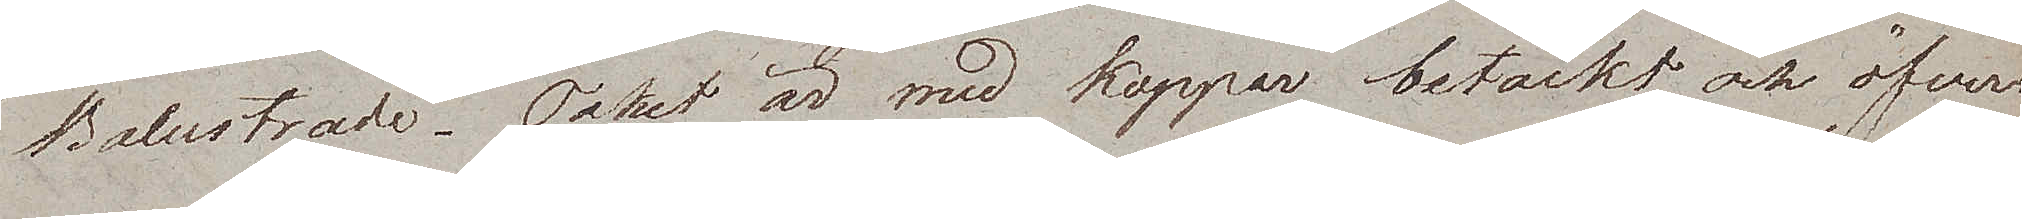Balustrade. Taket är med koppar betäckt och öfverst
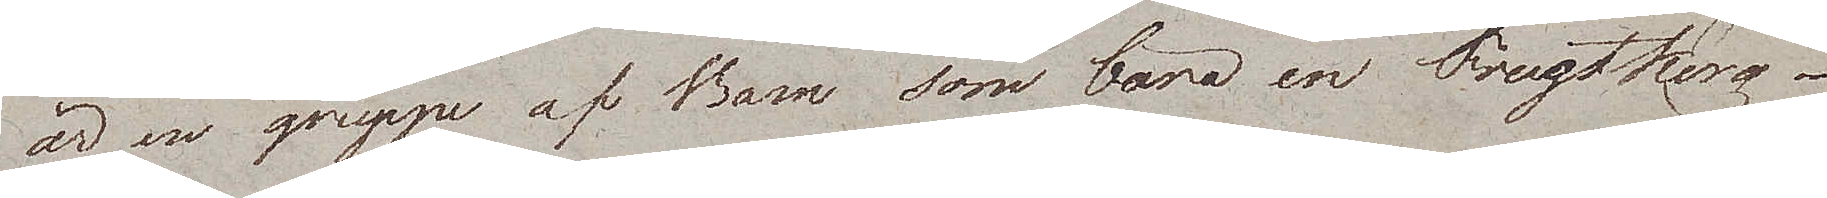är en gruppe af Barn som bära en Frugtkorg.
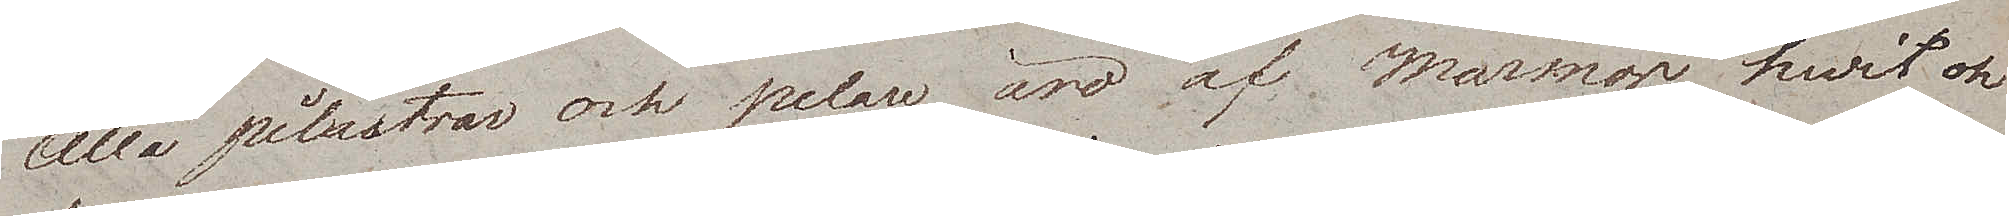Alla pilastrar och pelare äro af Marmor hvit och
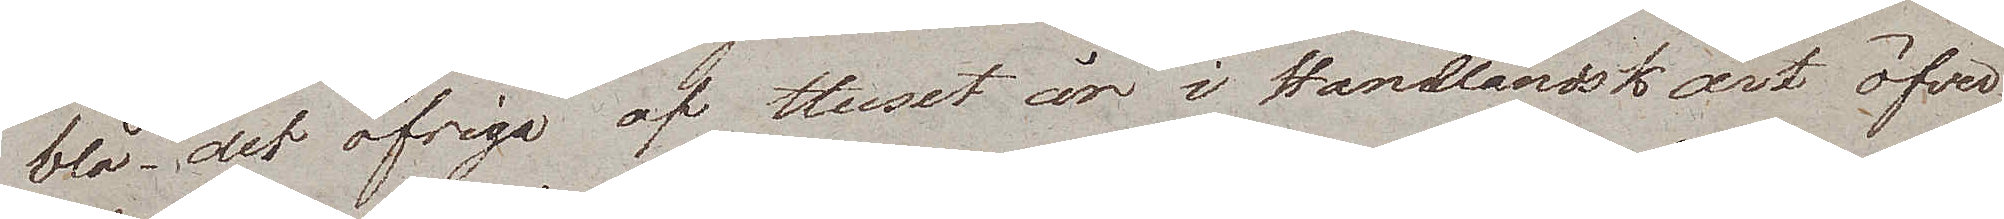blå, det öfriga af Huset är i Handländsk art öfver¬
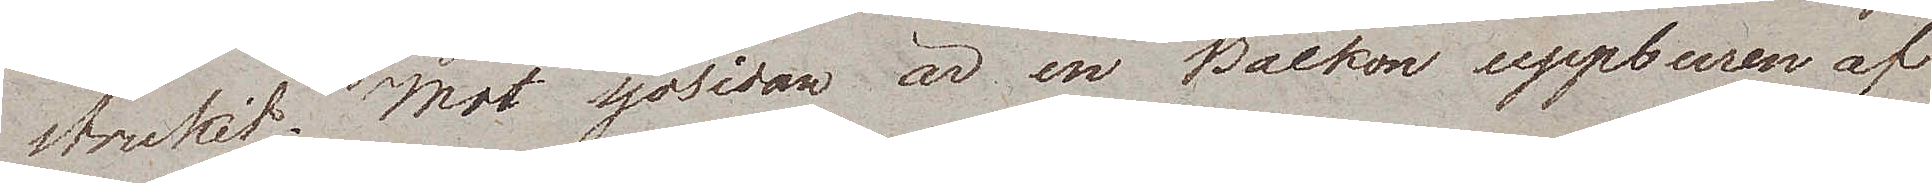strukit. Mot sjösidan är en Balkon uppburen af
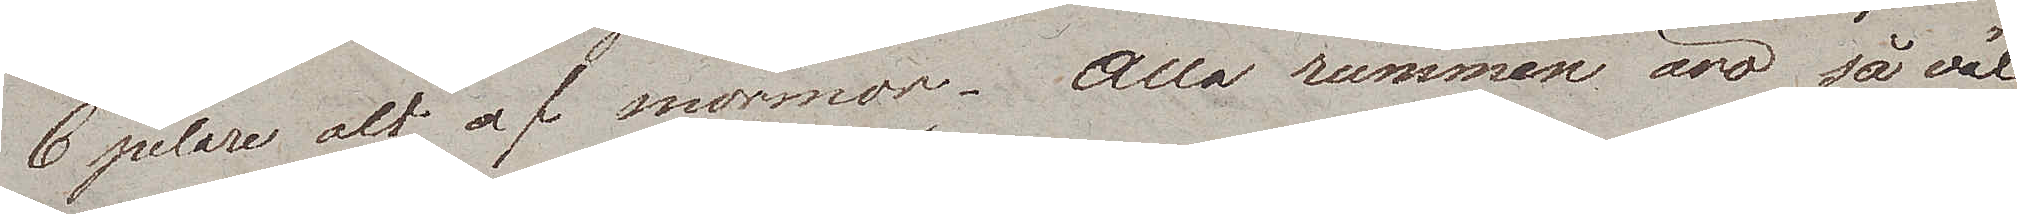6 pelare alt af marmor. Alla rummen äro såväl
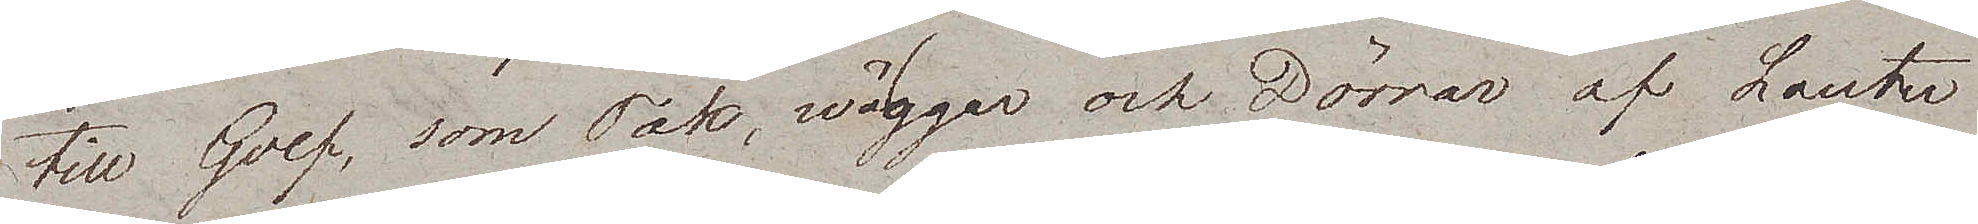till Golf, som Tak, wäggar och Dörrar af Lauter
